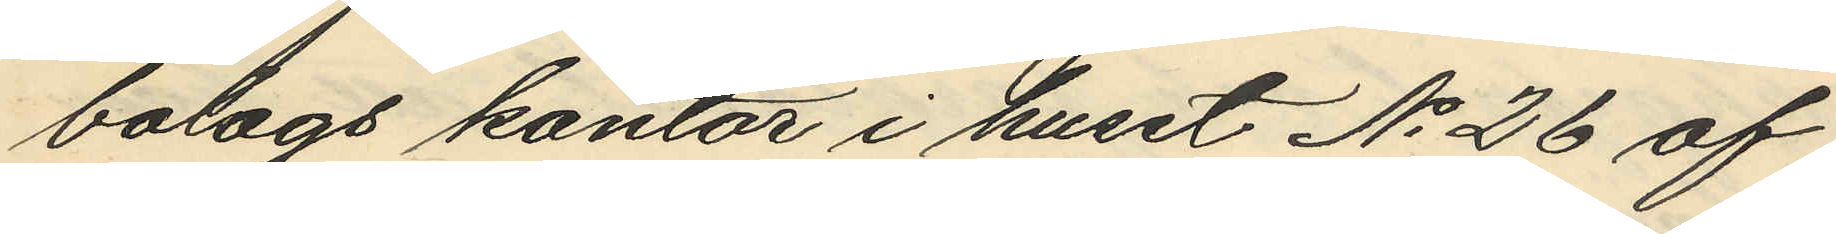bolags kontor i huset No 26 af
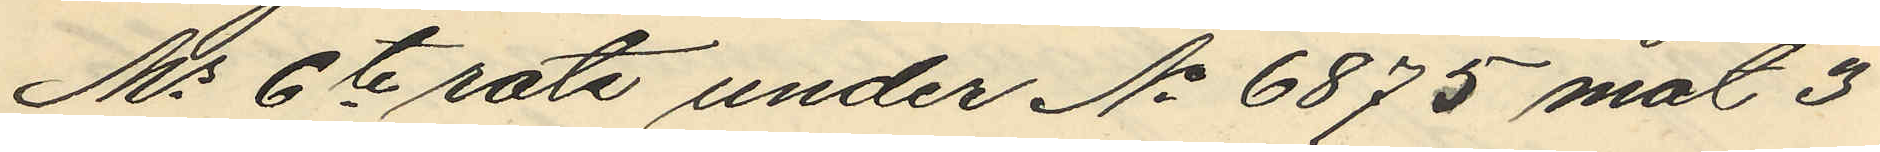Ms 6te rote under No 6875 mot 3
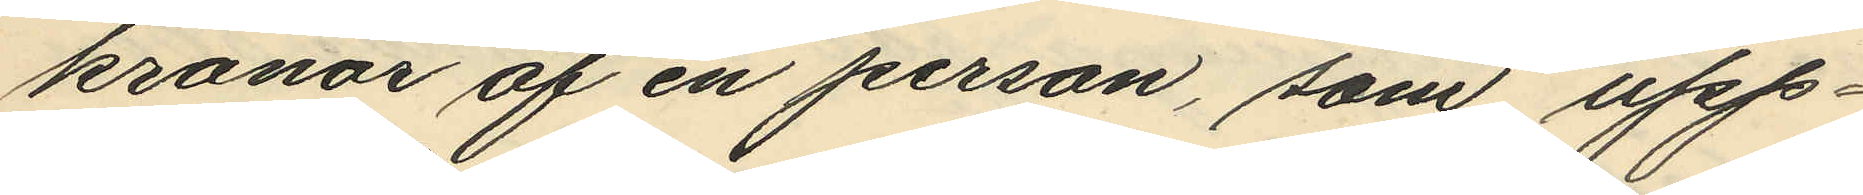kronor af en person, som upp¬
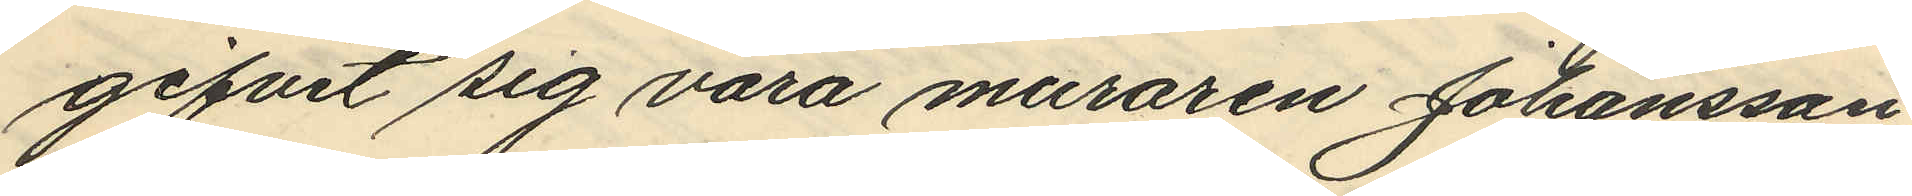gifvit sig vara muraren Johansson
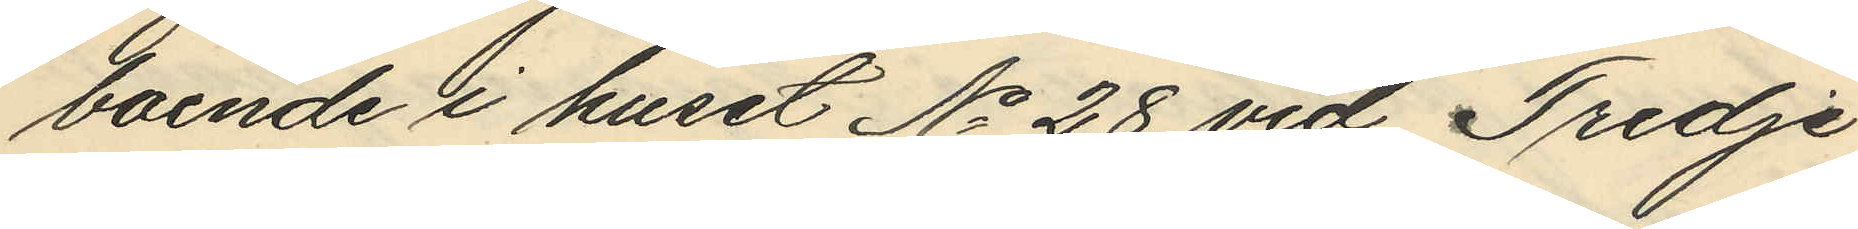boende i huset No 28 vid Tredje
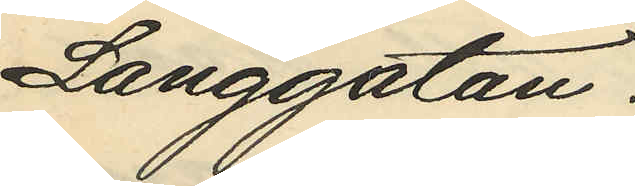Långgatan.
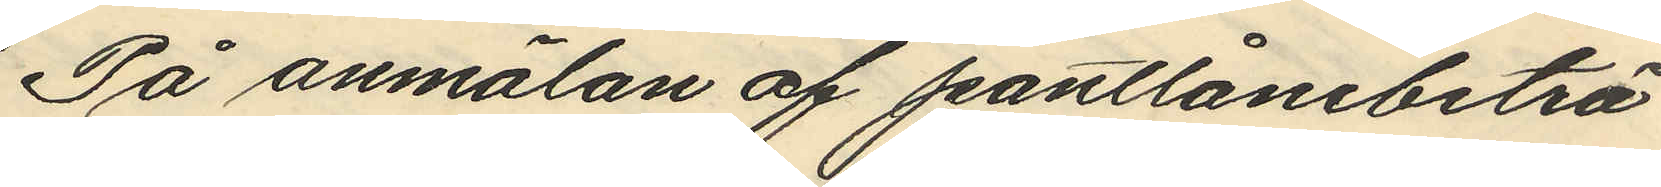På anmälan af pantlånebiträ¬
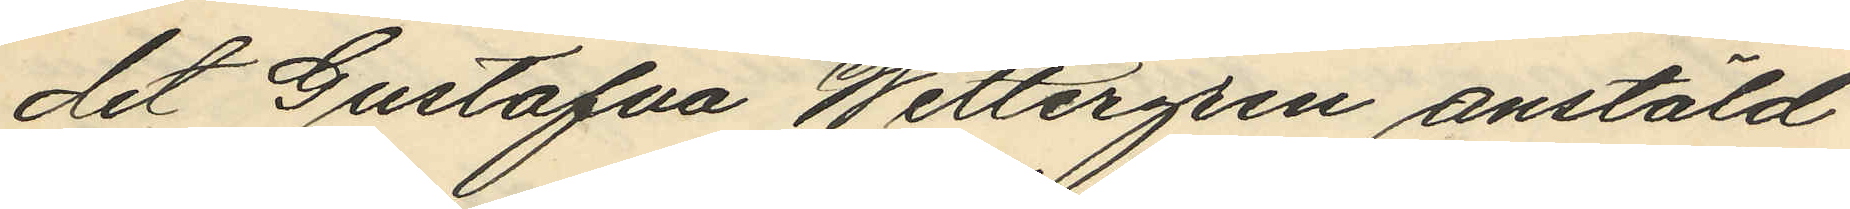det Gustafva Wettergren anstäld
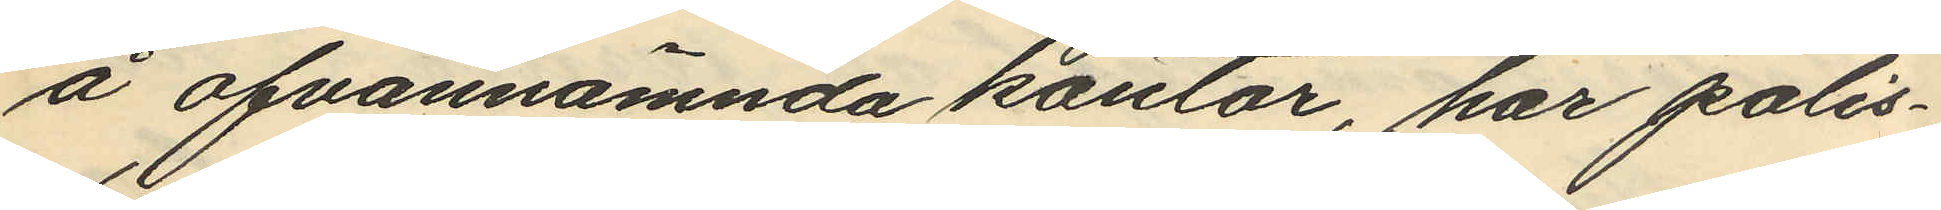å ofvannämnda kontor, har polis¬
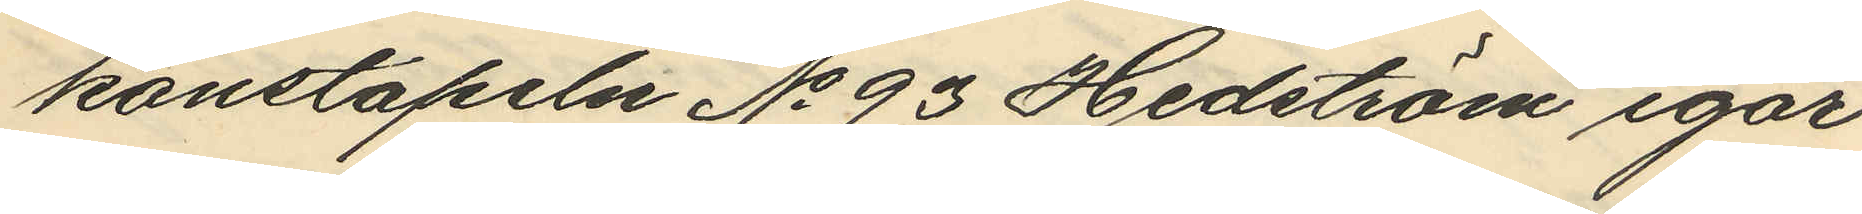konstapeln No 93 Hedström igår
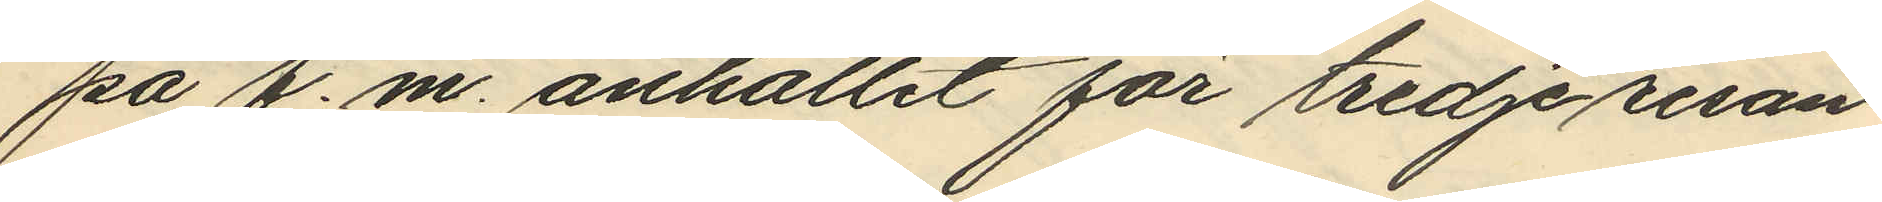på f.m. anhållit för tredje resan
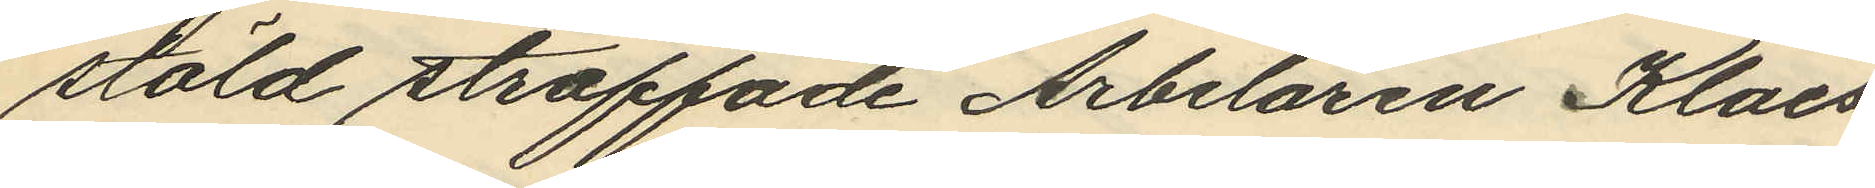stöld straffade Arbetaren Klaes
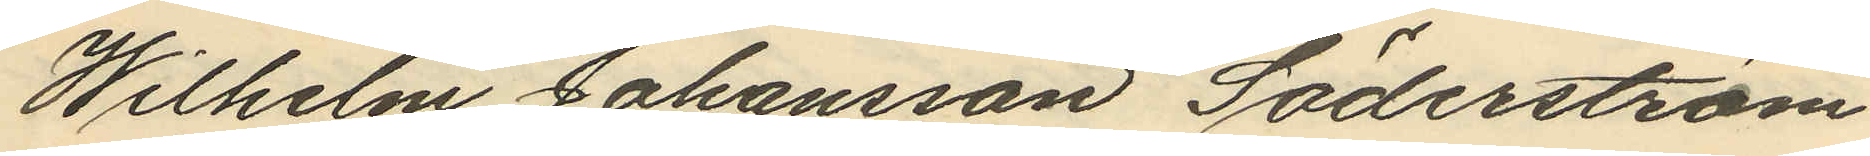Wilhelm Johansson Söderström
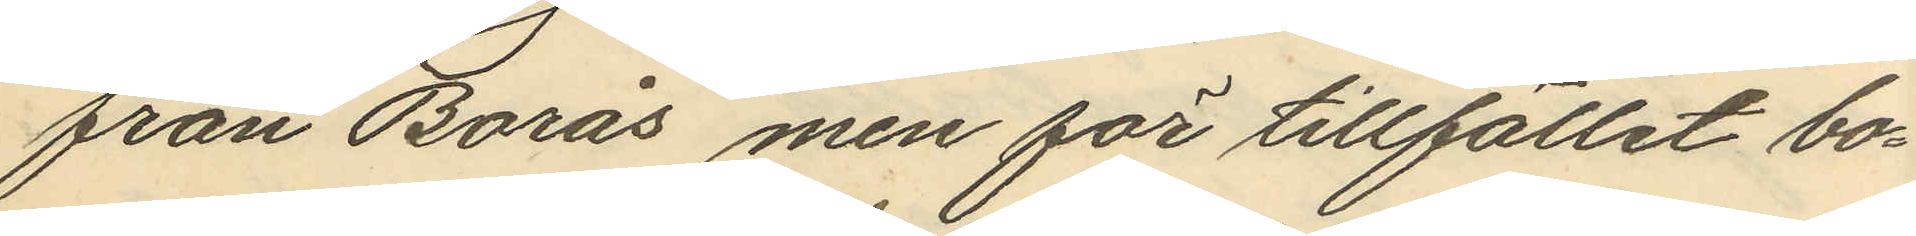från Borås men för tillfället bo¬
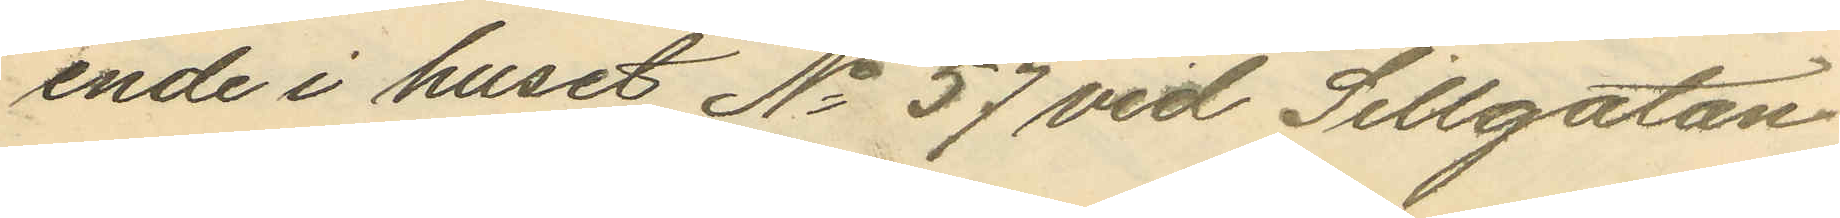ende i huset No 57 vid Sillgatan
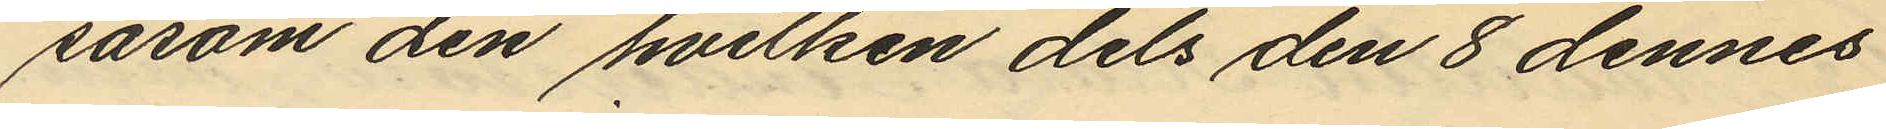såsom den hvilken dels den 8 dennes
